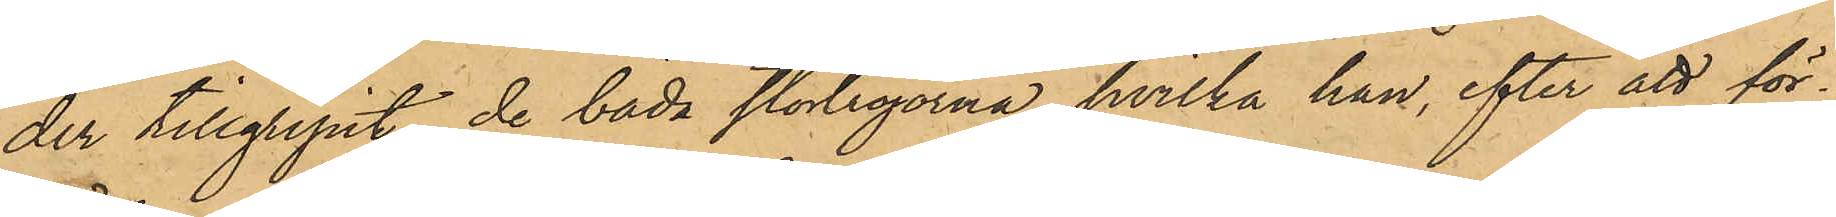der tillgripit de båda stortröjorna, hvilka han, efter att för¬
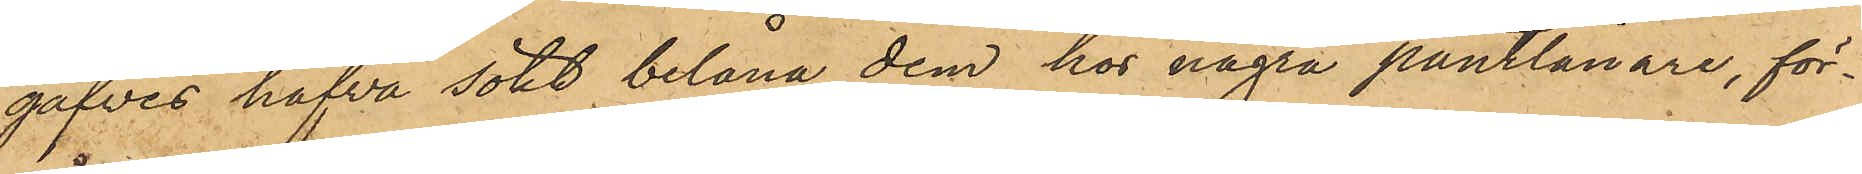gäfves hafva sökt belåna dem hos några pantlånare, för¬
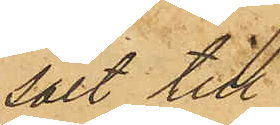sålt till
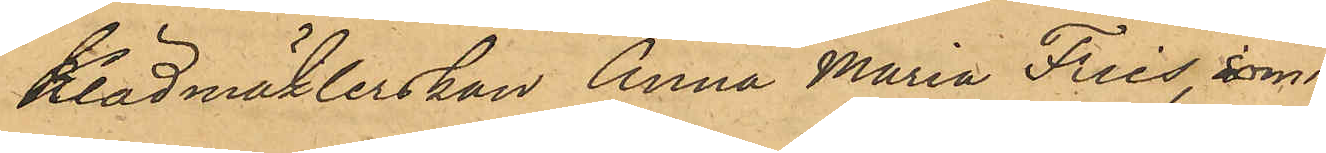Klädmäklerskan Anna Maria Fries, som
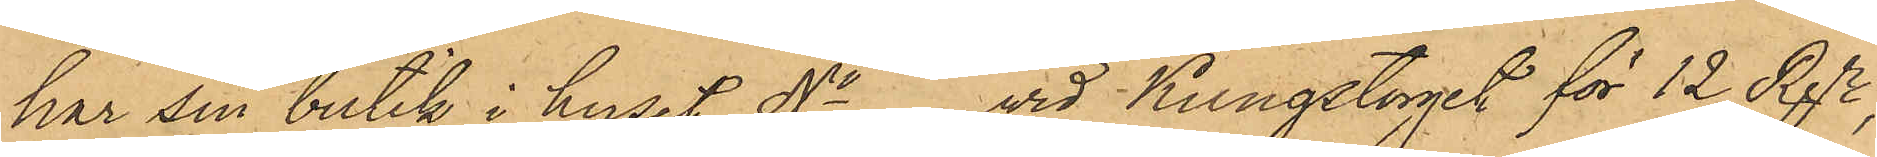har sin butik i huset No vid Kungstorget för 12 Rgr,
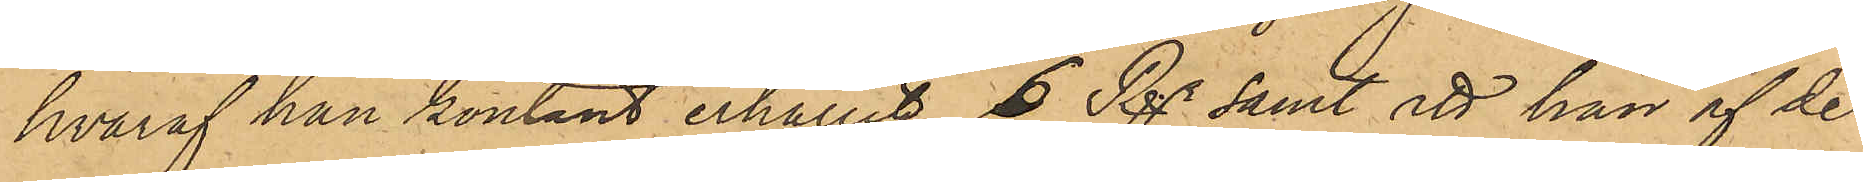hvaraf han kontant erhållit 6 Rgr samt att han af de
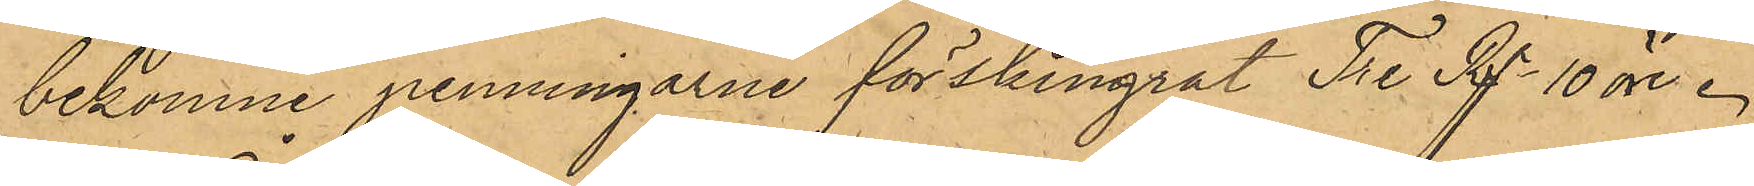bekomne penningarne förskingrat Tre Rgr 10 öre.
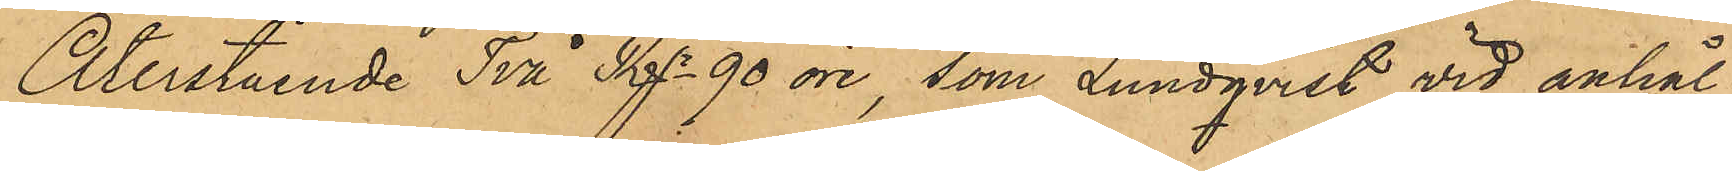Återstående Två Rgr 90 öre, som Lundqvist vid anhål¬
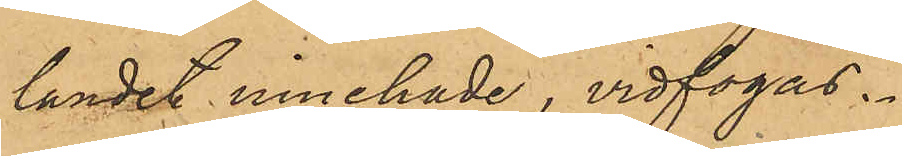landet innehade, vidfogas.
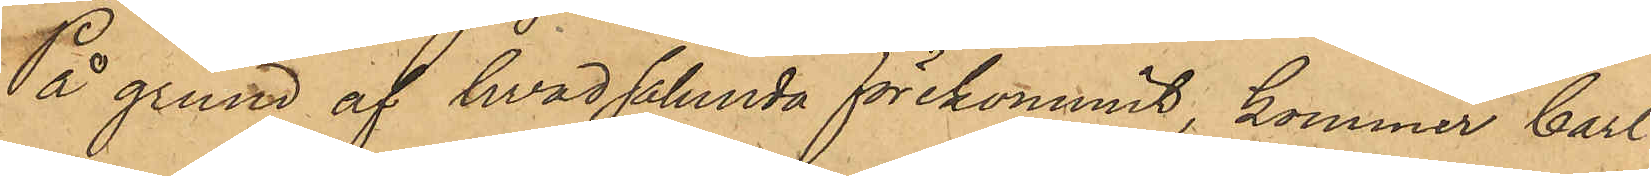På grund af hvad sålunda förekommit, kommer Carl
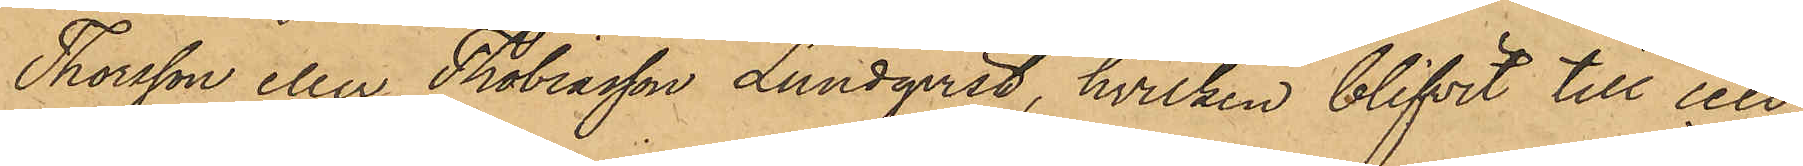Thorsson eller Tobiasson Lundqvist, hvilken blifvit till cell¬
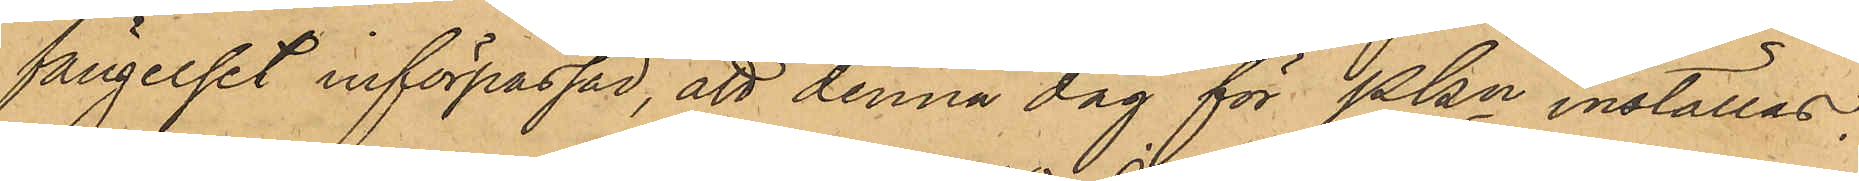fängelset införpassad, att denna dag för Pkn inställas.
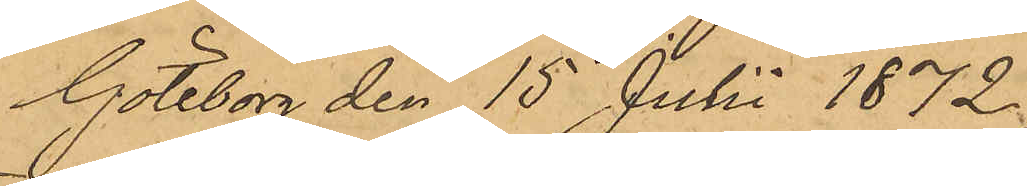Göteborg den 15 Juli 1872.
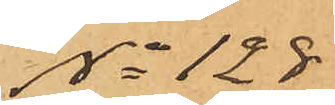No 128
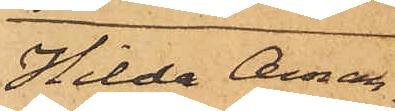Hilda Aman¬
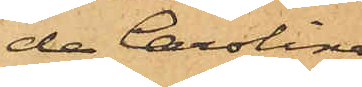da Carolina
